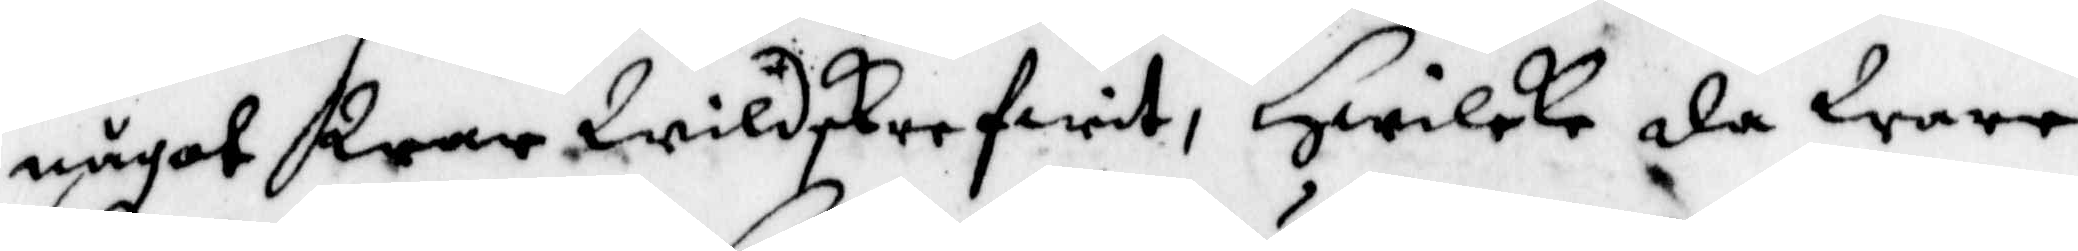något War Wildskrefwit, Hwilke da Wate
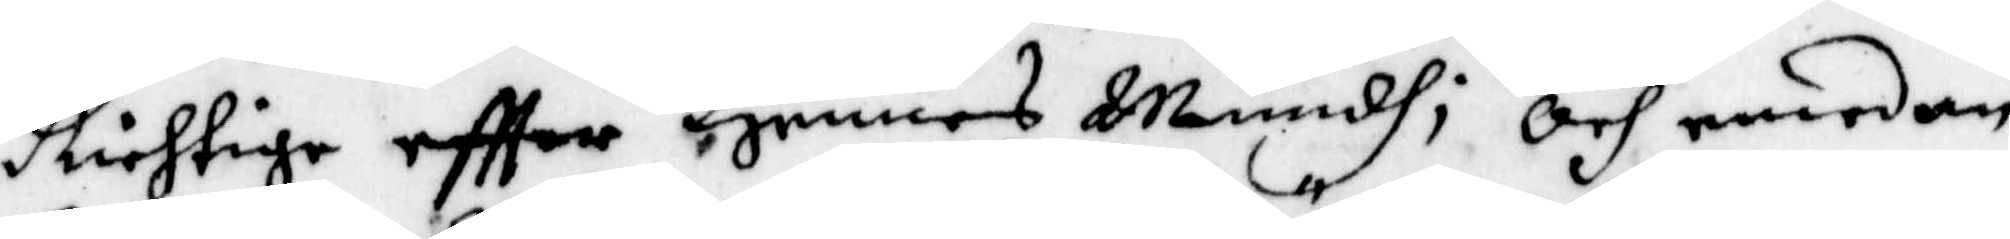Richtige eftter Hennes Mundh; Och emedan
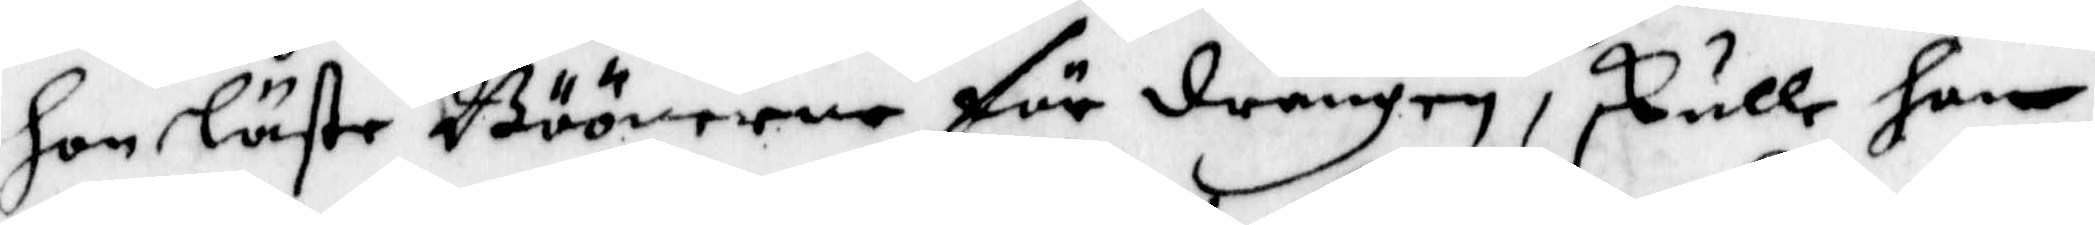hon läste Böönerne för drängen, skulle han
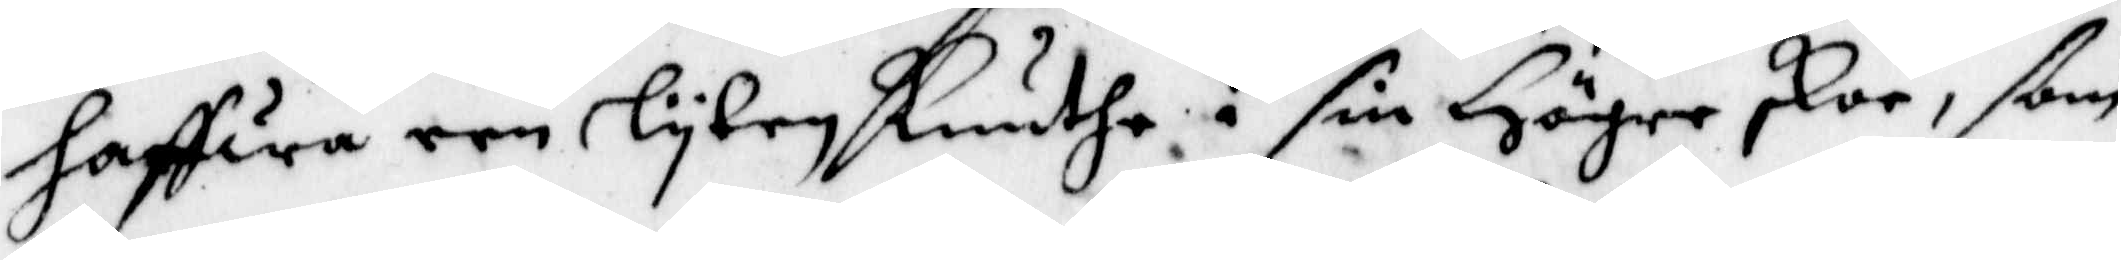haffwa een lyten knuthe i sin Höger skor, ßom
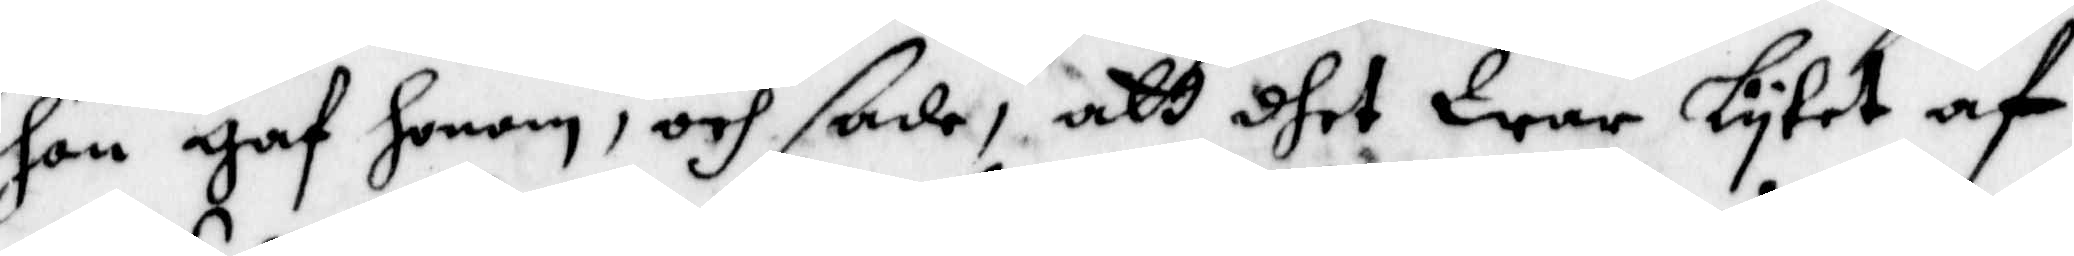hon gaf honom, och sade, att dhet War lytet af
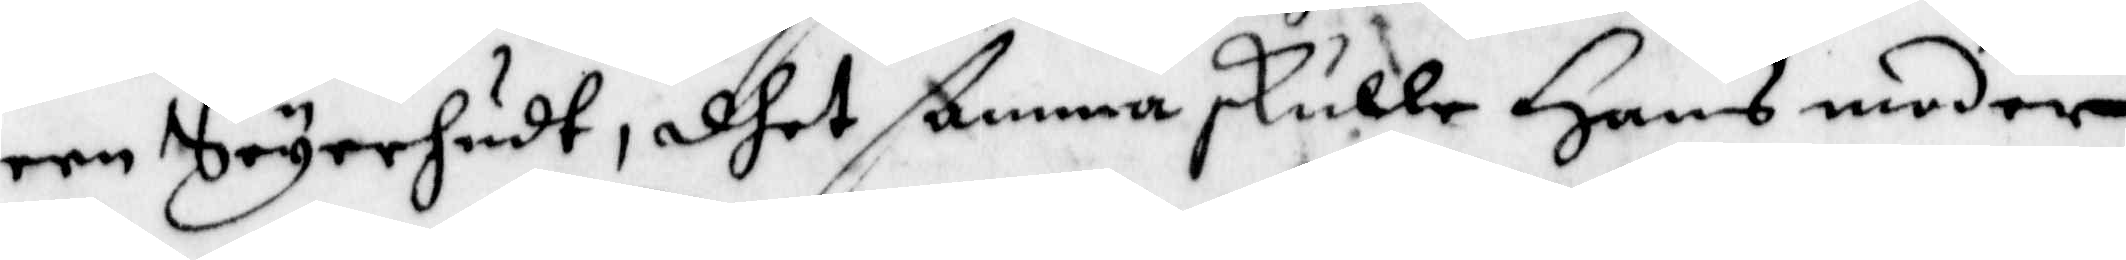een Seyerhudt, dhet ßamma skulle Hans moder
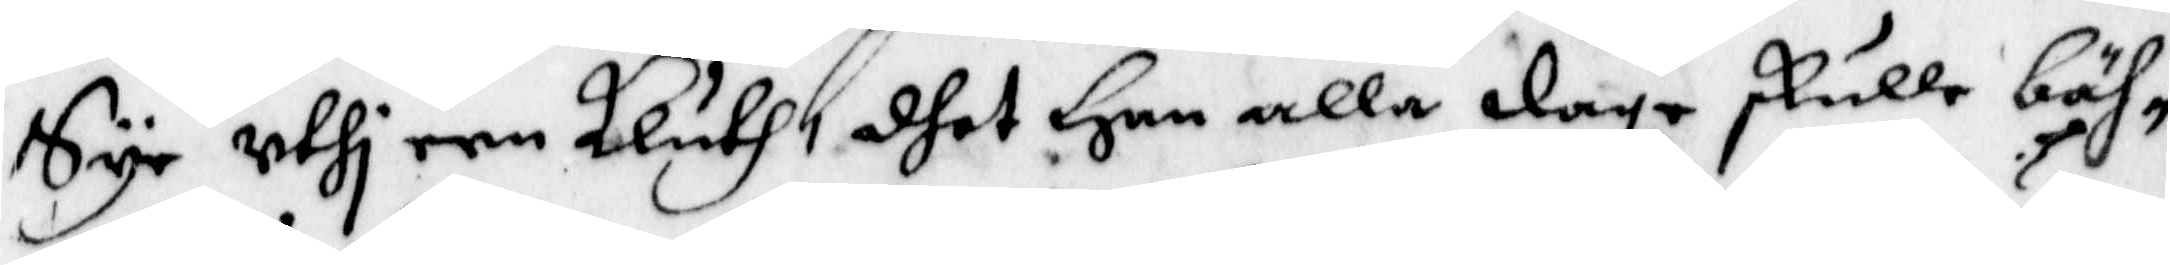Sye uthi een kluth, dhet Han alla daga skulle bäh¬
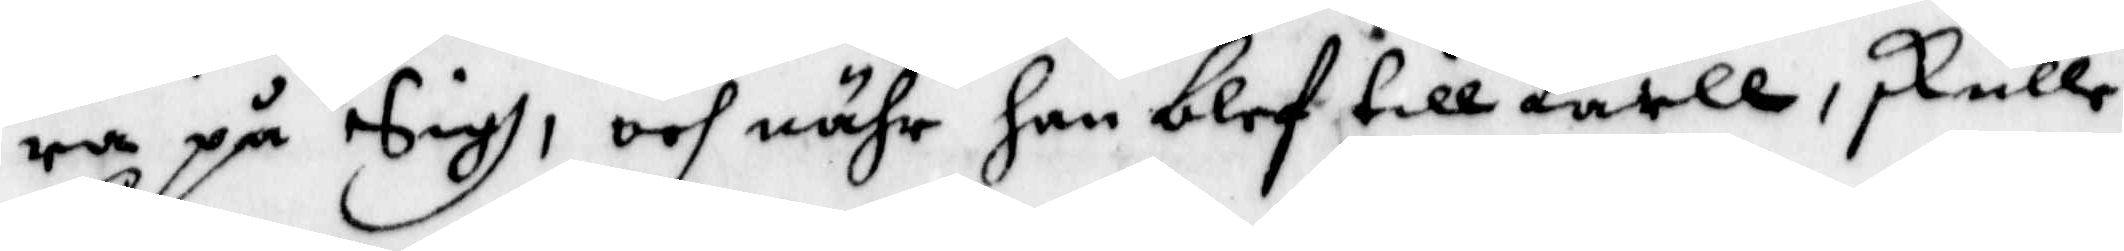ra på Sigh, och nähr han blef till karll, skull
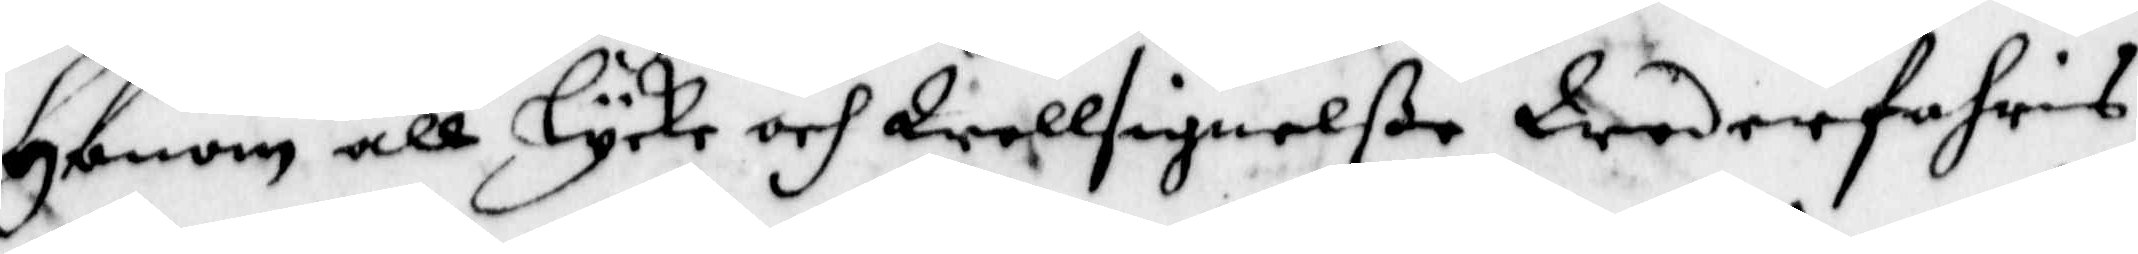Honom all Lycke och Wellsignelße Wederfahris
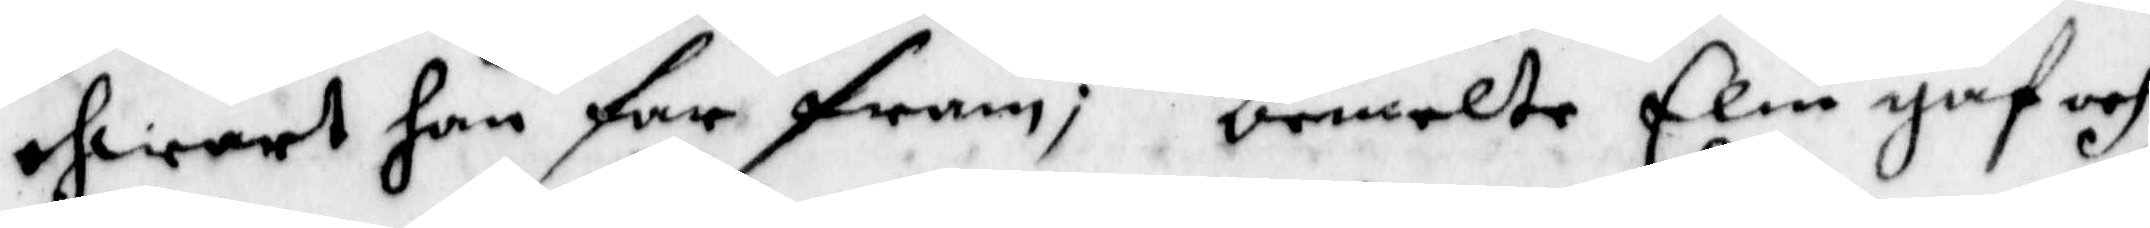ehwart han for fram; bemelte Elin gaf och
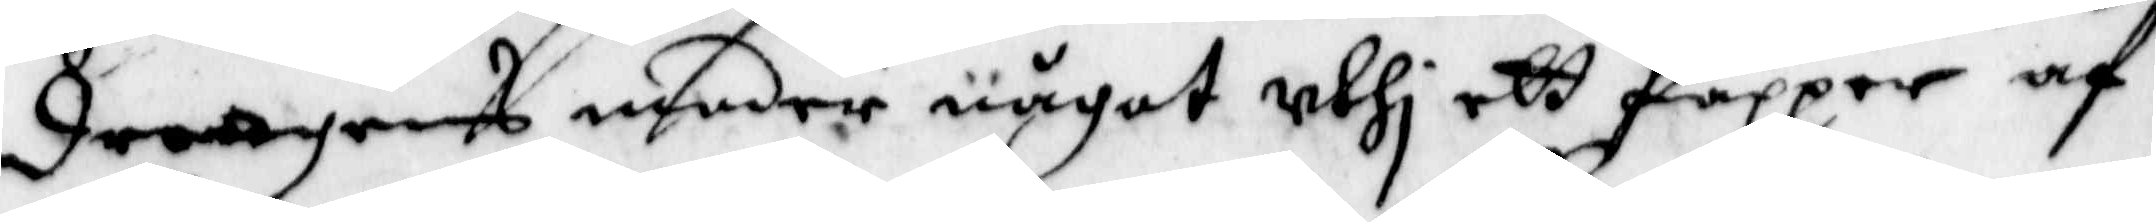drängens moder något uthi ett Papper af
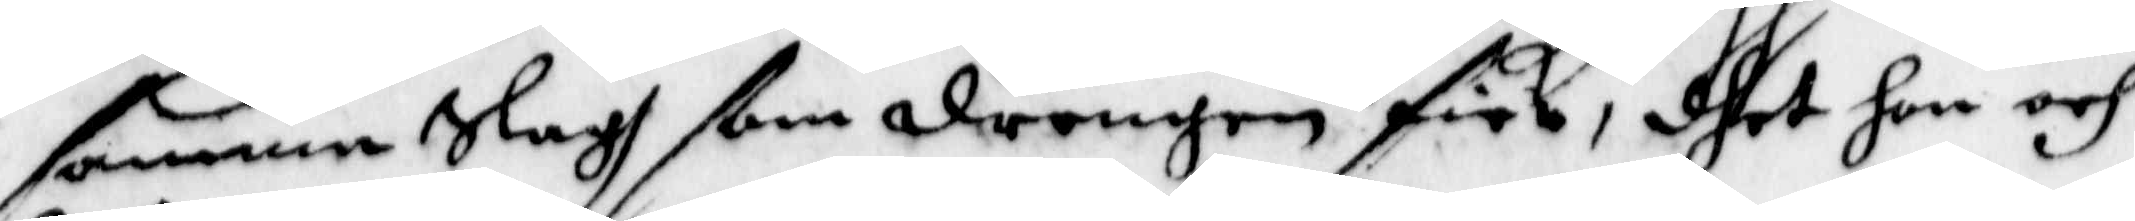samma Slagh ßom drengen fick, dhet hon och
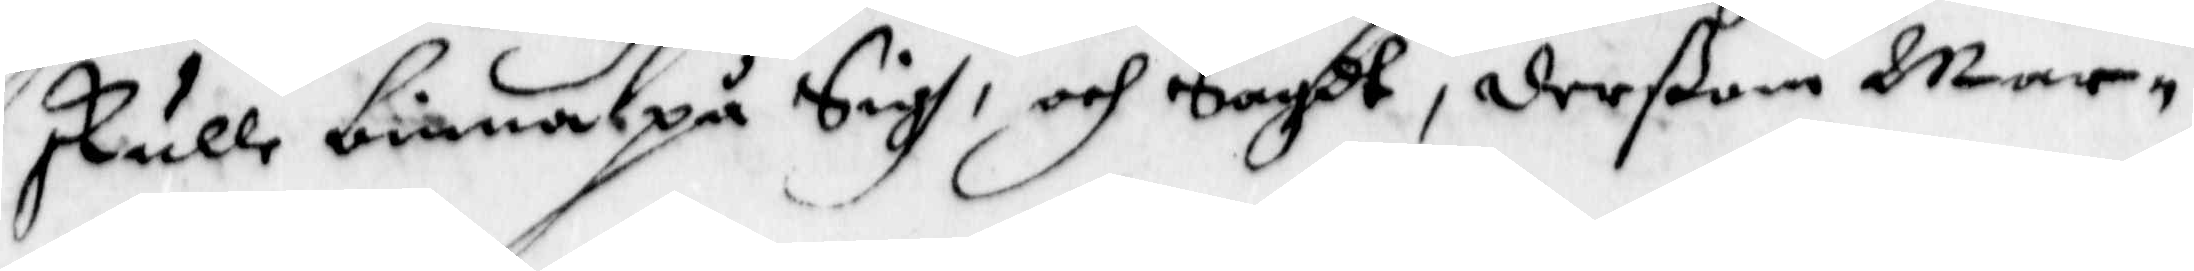skulle binna på Sigh, och Sagdt, derßom Mar¬
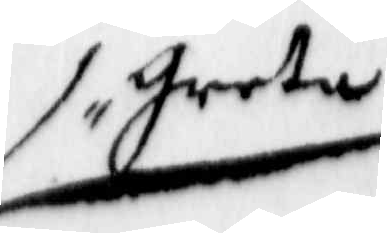greta
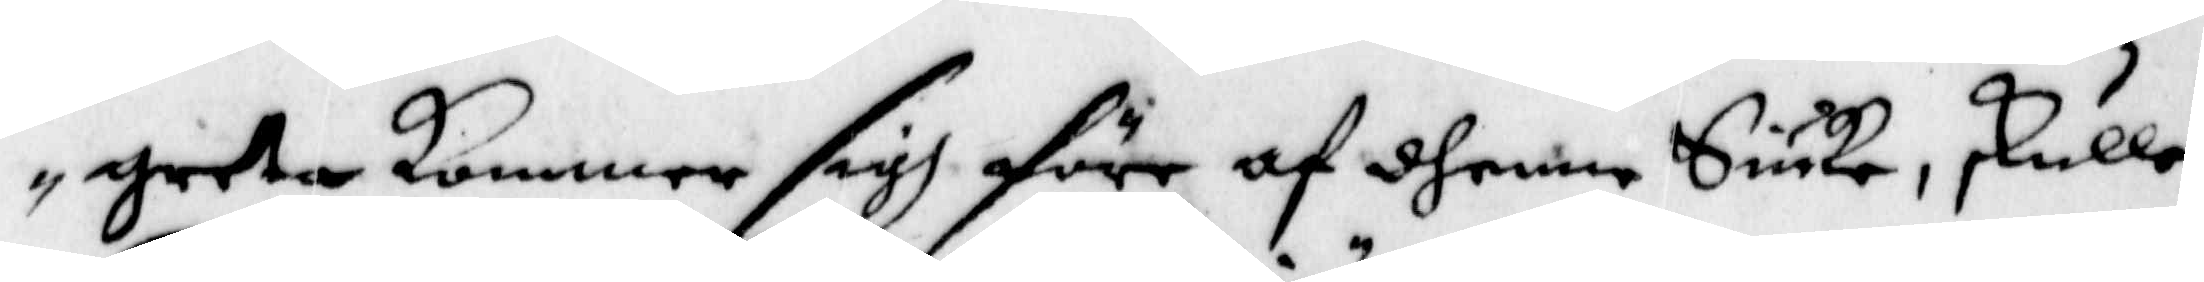greta kommer sigh före af dhene Siuka, skulle
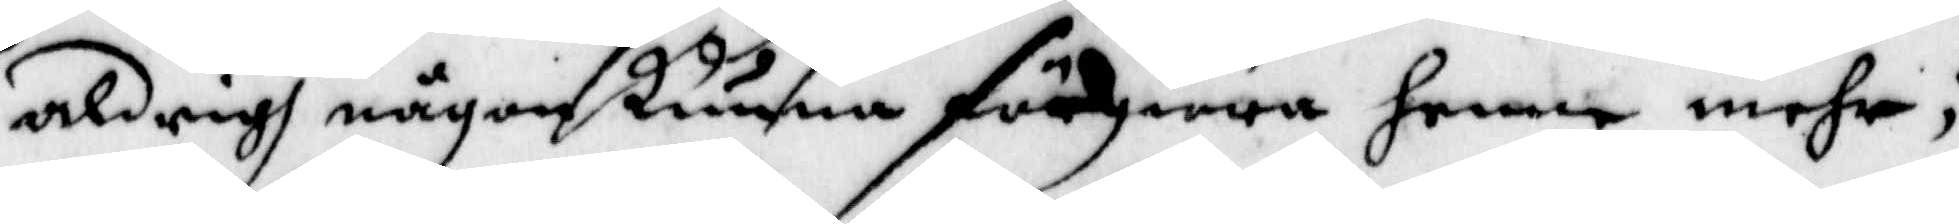aldrig någon kunna förgiöra henne mehr;
